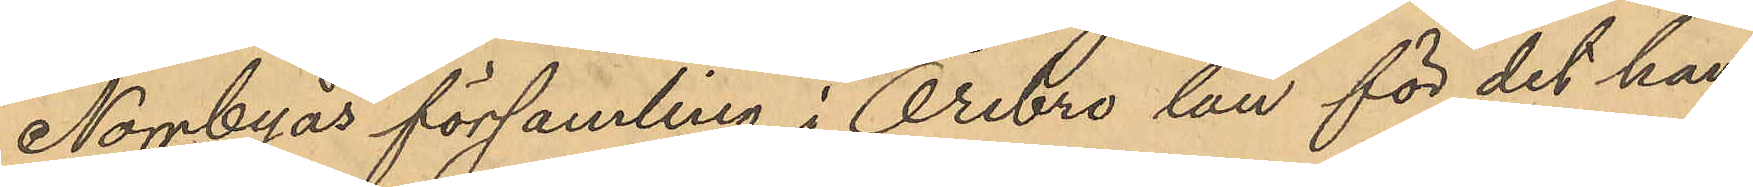Norrbyås församling i Örebro län för det han
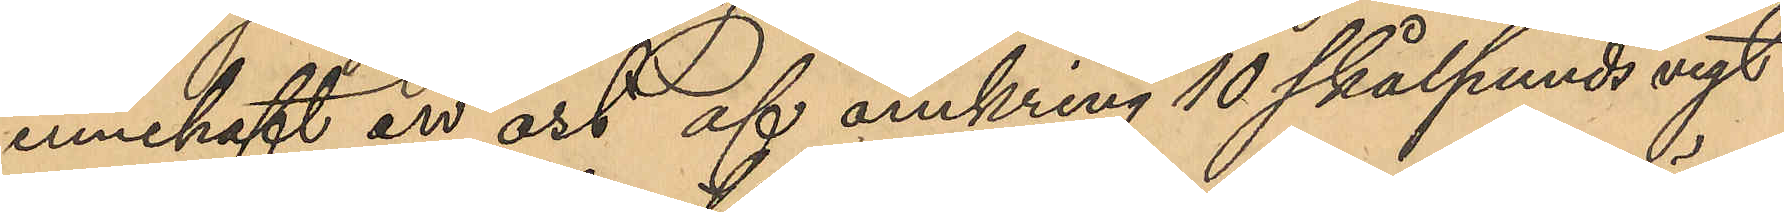innehaft en ost af omkring 10 skålpunds vigt
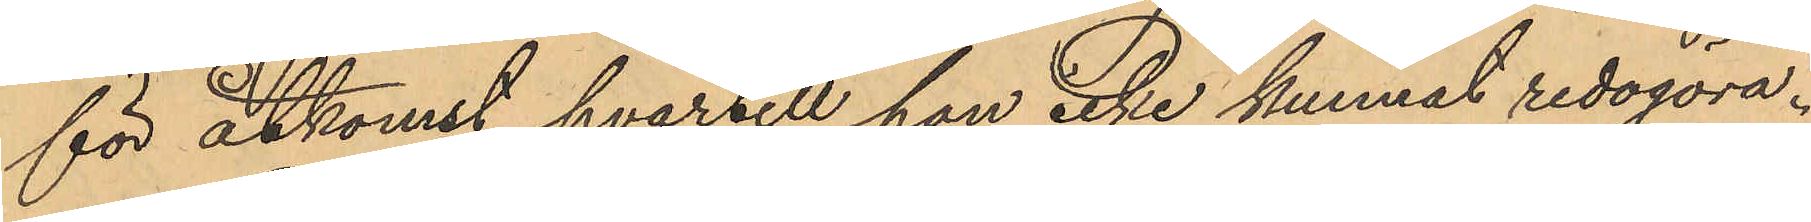för åtkomst hvartill han icke kunnat redogöra.
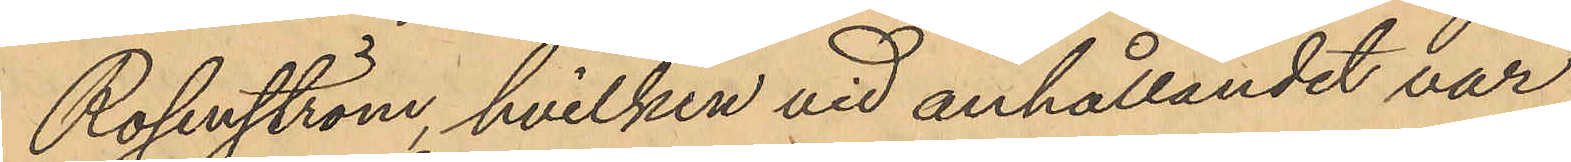Rosenström, hvilken vid anhållandet var
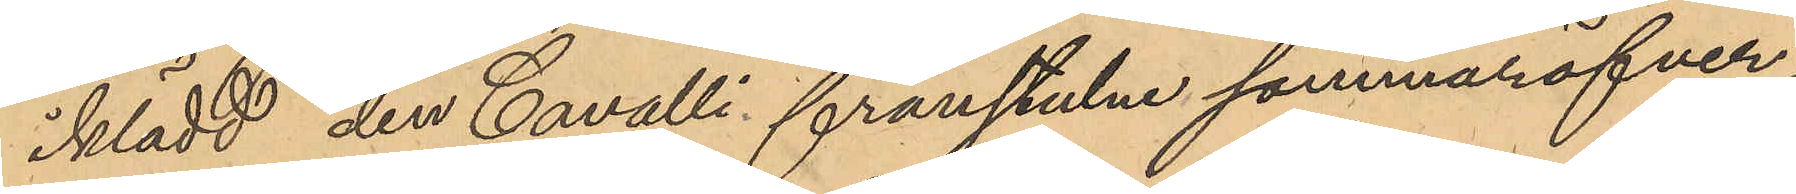iklädd den Cavalli frånstulne sommaröfver¬
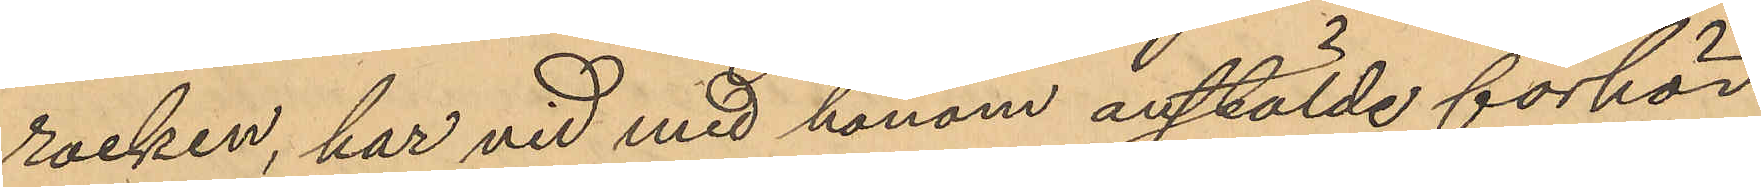rocken, har vid med honom anstälde förhör
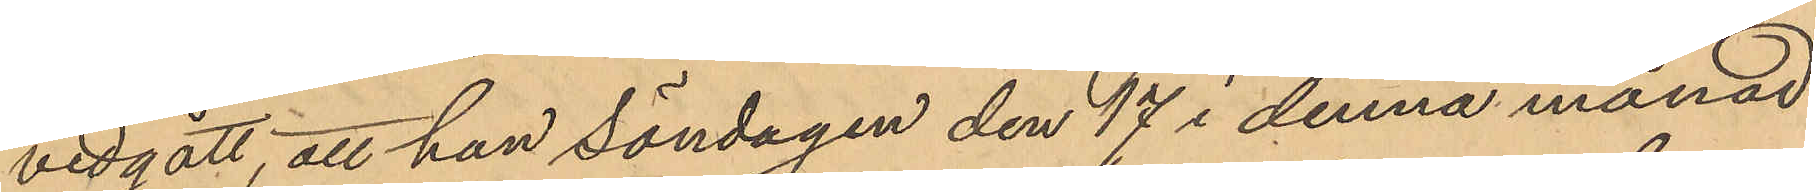vidgått, att han Söndagen den 17 i denna månad
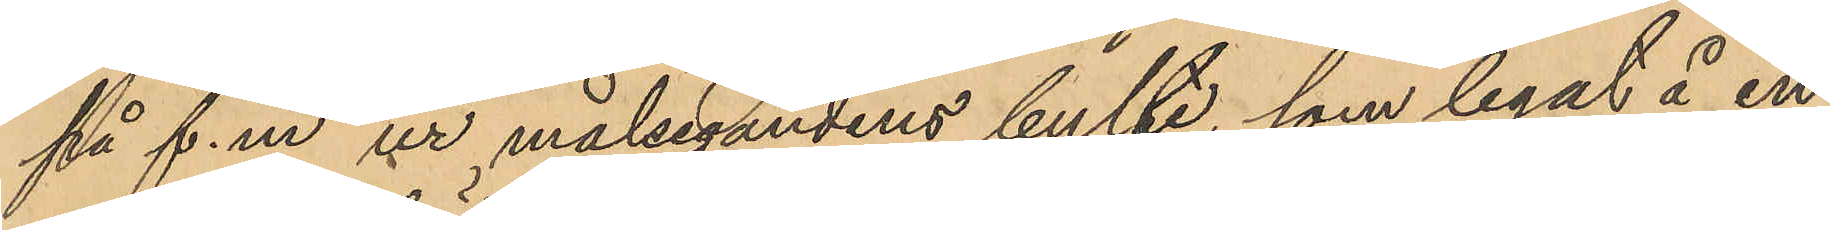på f.m ur målsegandens bylte, som legat å en
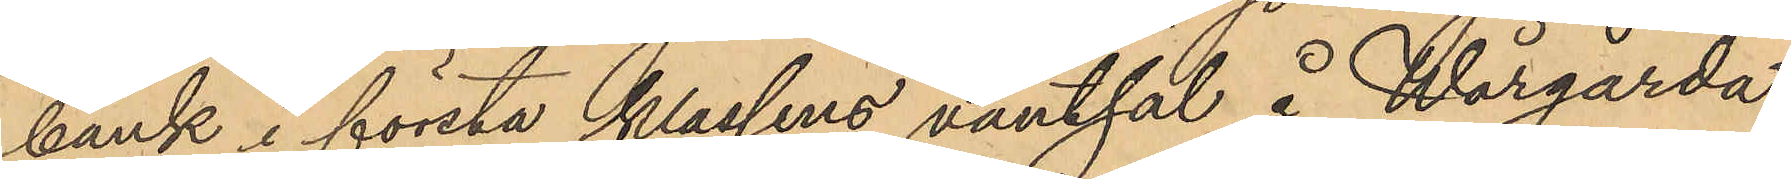bank i första klassens väntsal å Wårgårda
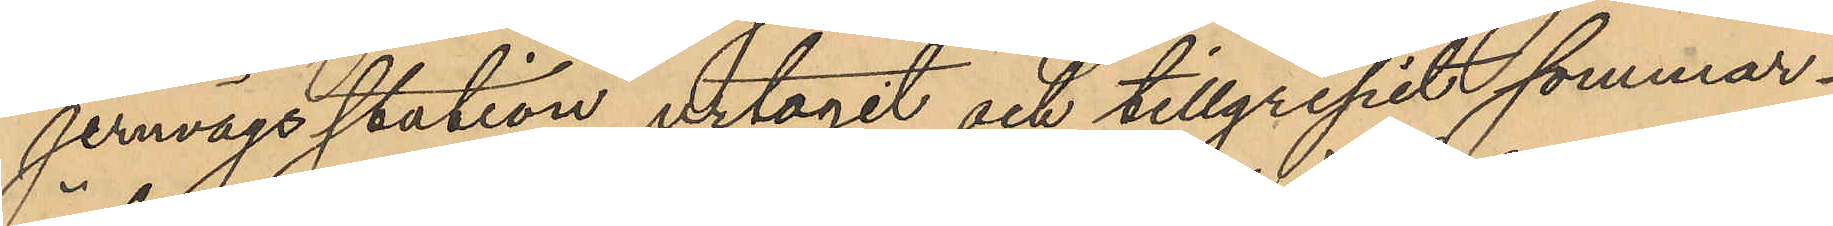jernvägsstation urtagit och tillgripit sommar¬
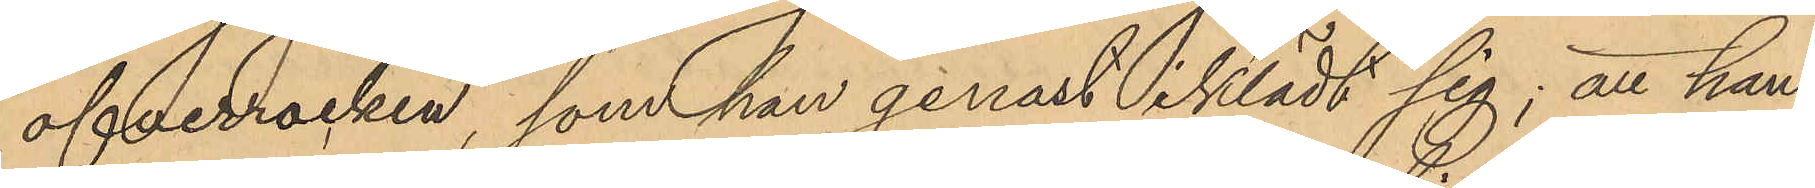öfverrocken, som han genast iklädt sig; att han,
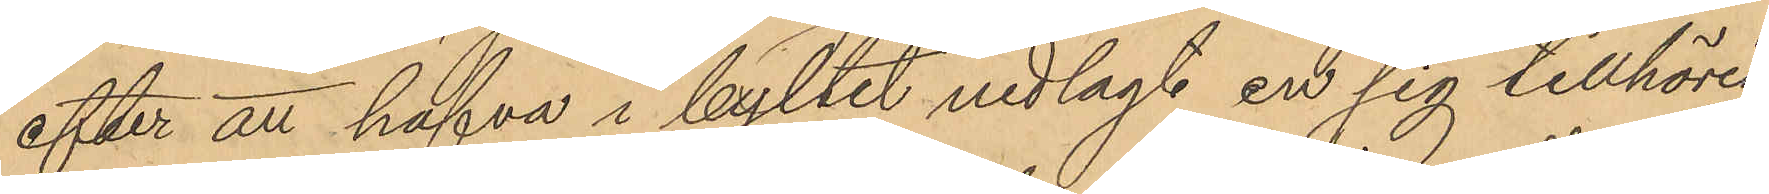efter att hafva i byltet nedlagt en sig tillhörig
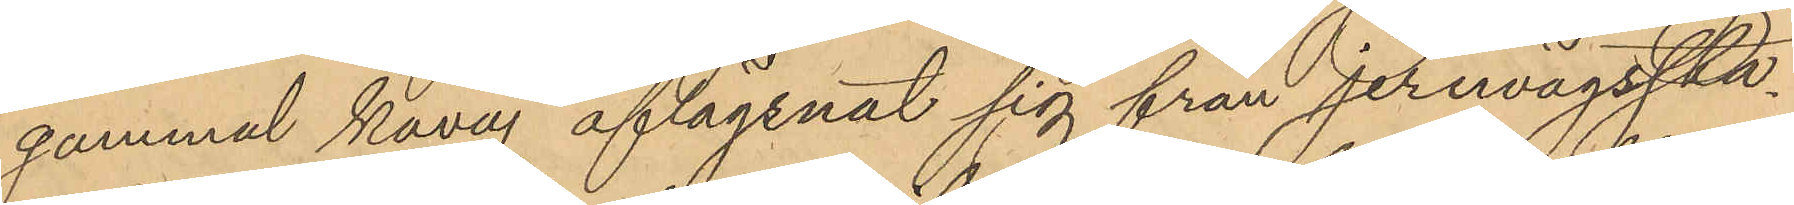gammal kavaj aflägsnat sig från Jernvägssta¬
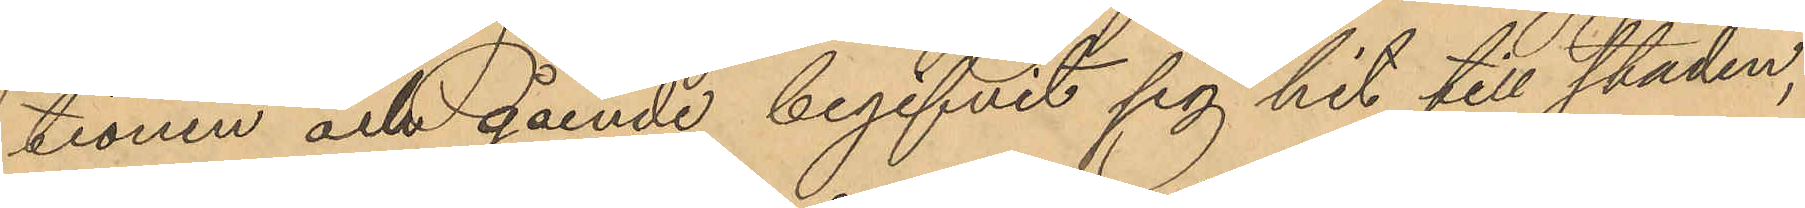tionen och gående begifvit sig hit till staden,
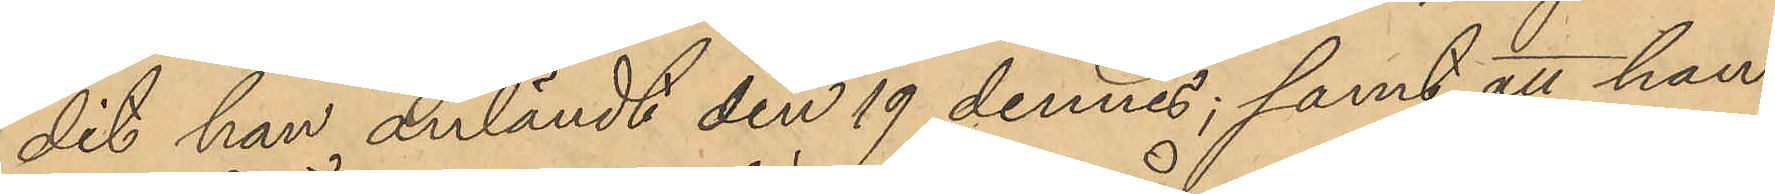dit han anländt den 19 dennes; samt att han
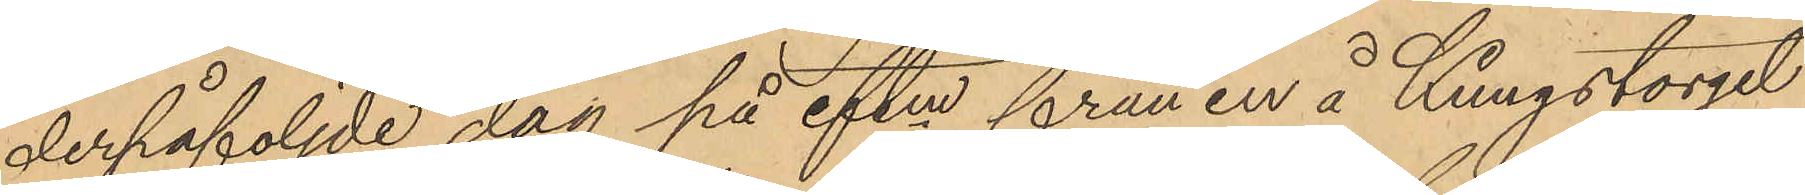derpåföljde dag på eftm från en å Kungstorget
